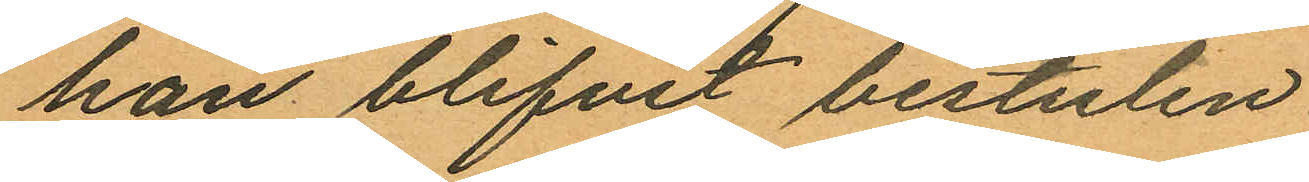han blifvit bestulen.
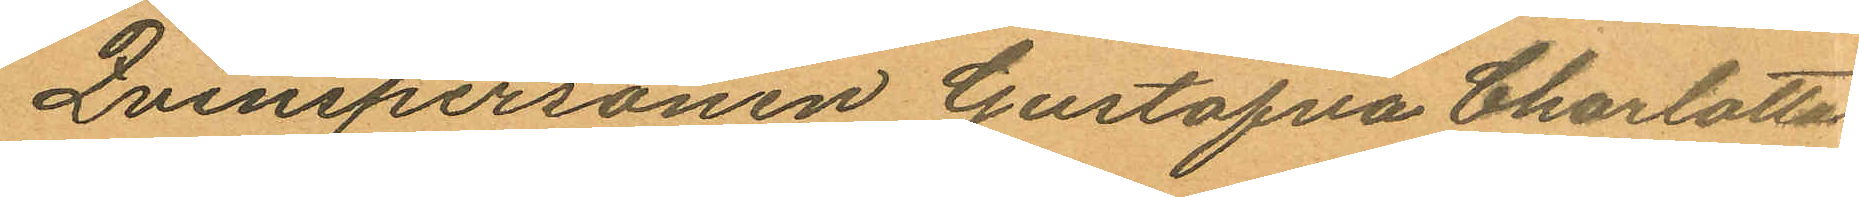Qvinspersonen Gustafva Charlotta
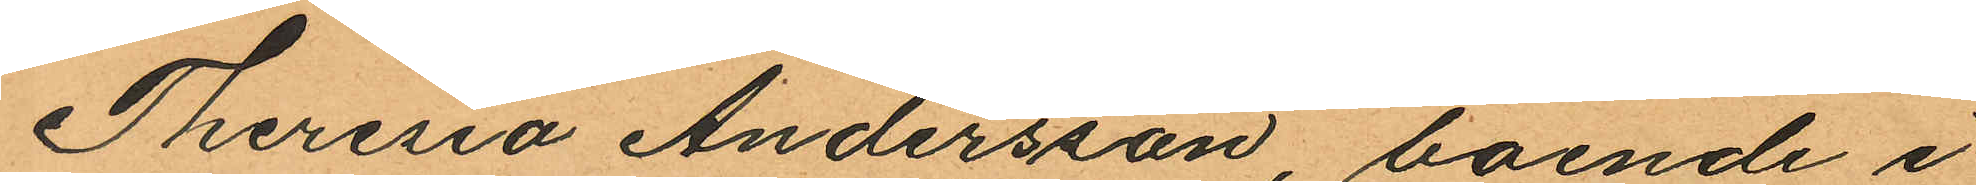Theresia Andersson, boende i
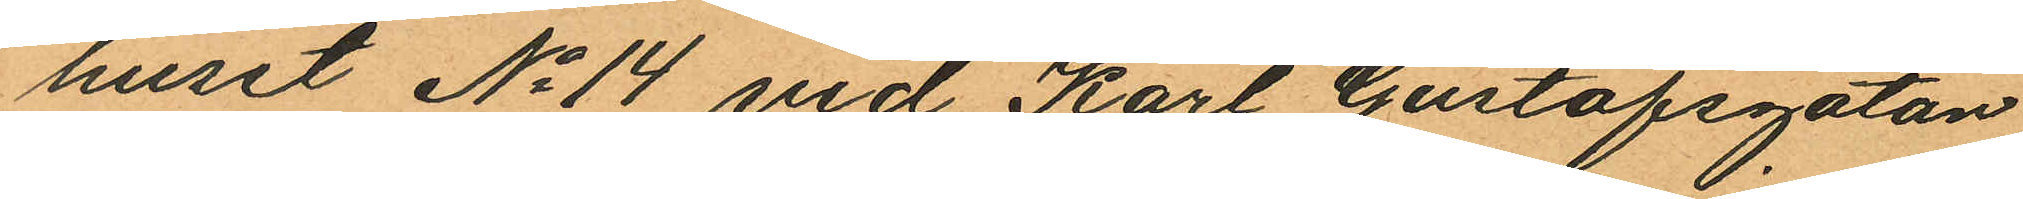huset No 14 vid Karl Gustafsgatan
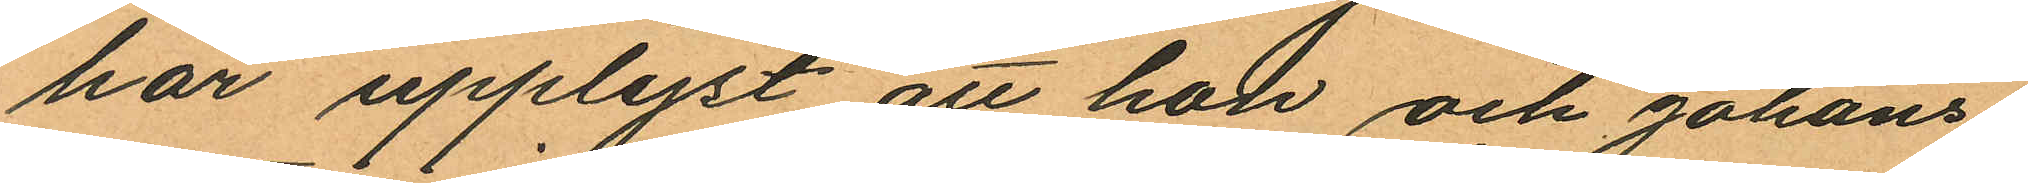har upplyst att hon och Johans¬
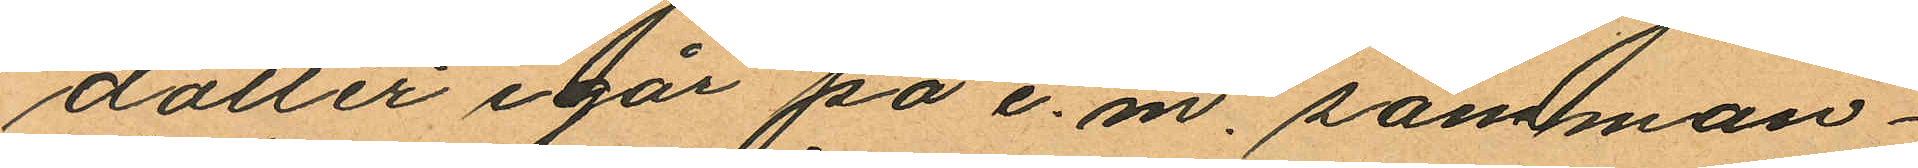dotter igår på e. m. samman¬
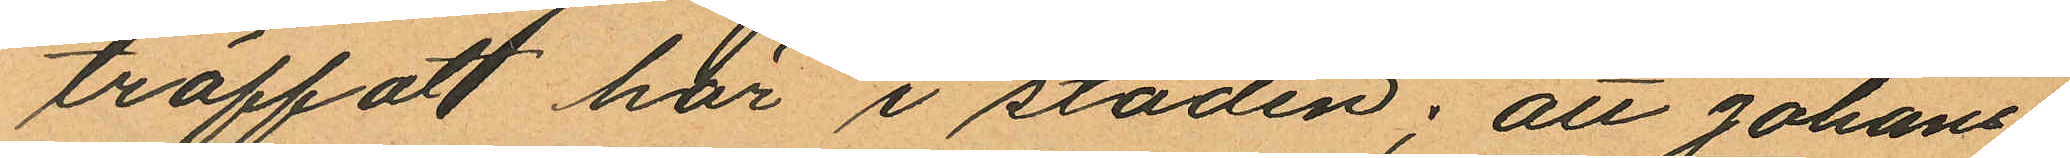träffat här i staden; att Johans¬
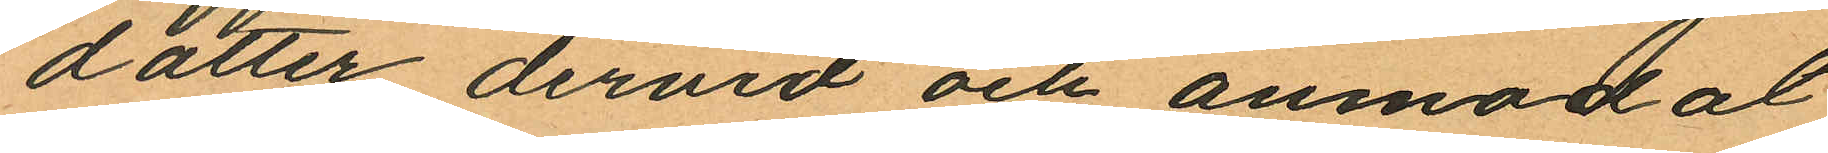dotter dervid och anmodat
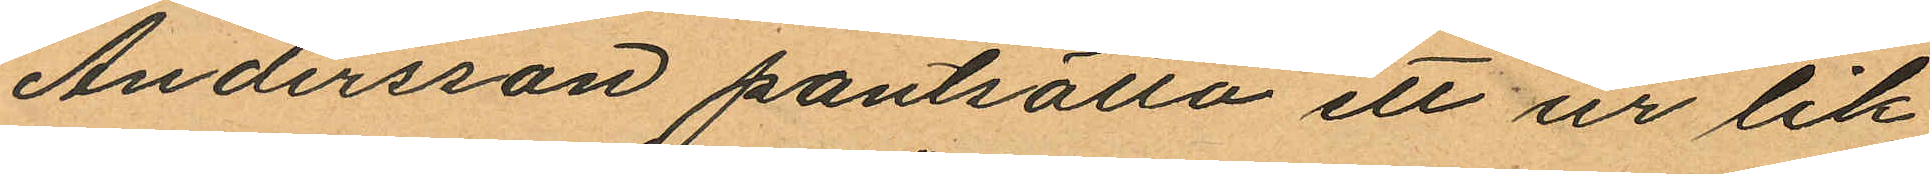Andersson pantsätta ett ur lik
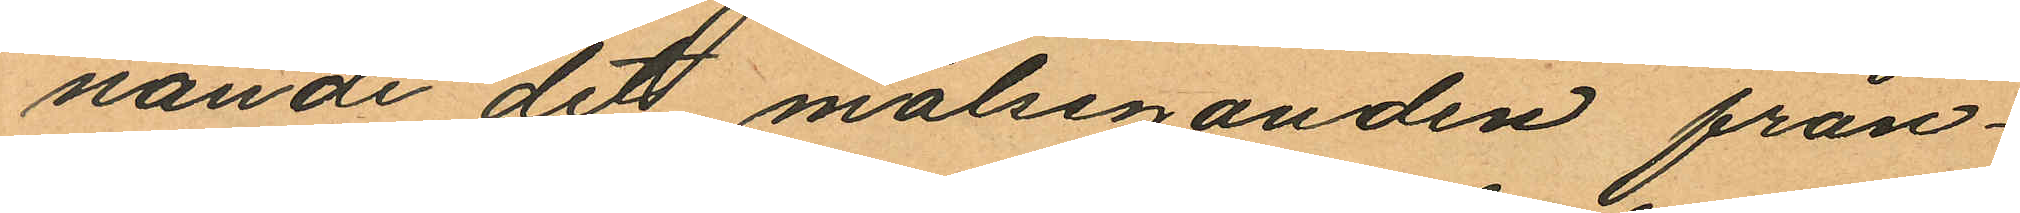nande det målseganden från¬
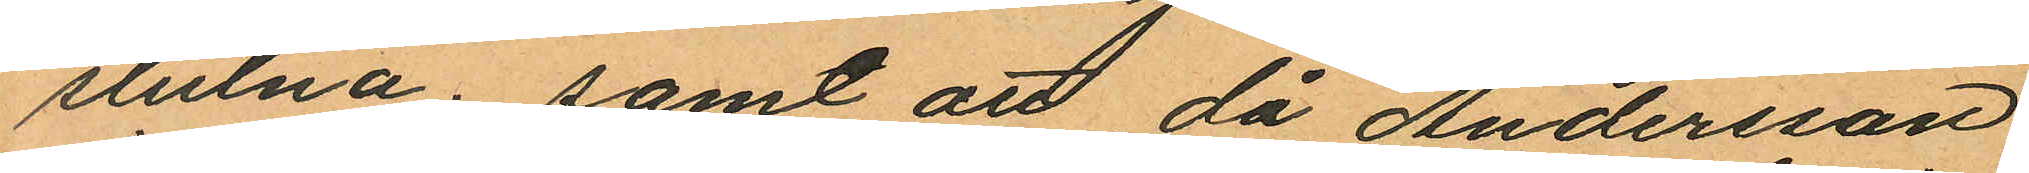stulna; samt att då Andersson
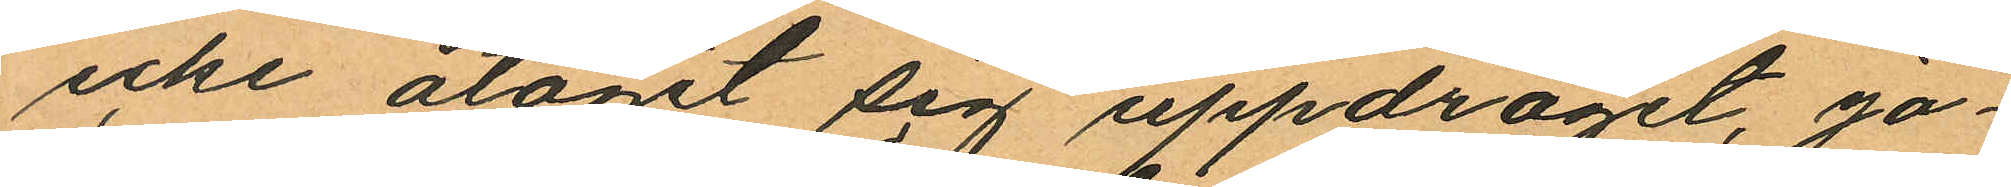icke åtagit sig uppdraget, Jo¬
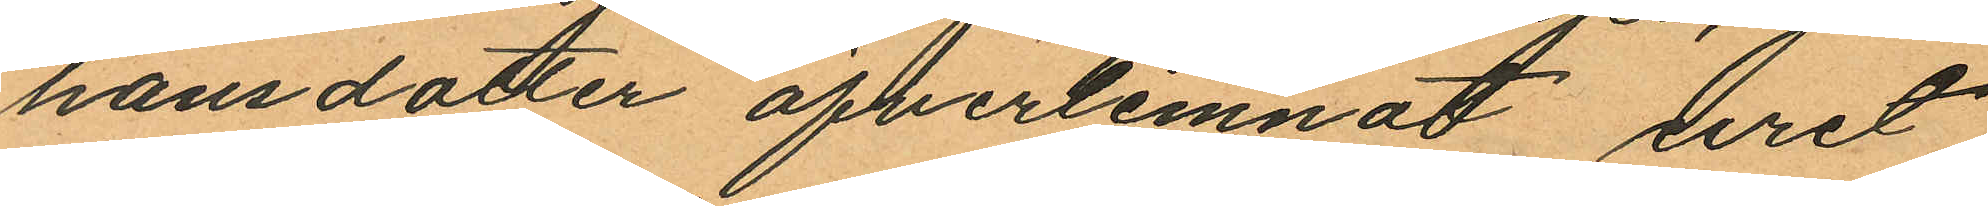hansdotter öfverlemnat uret
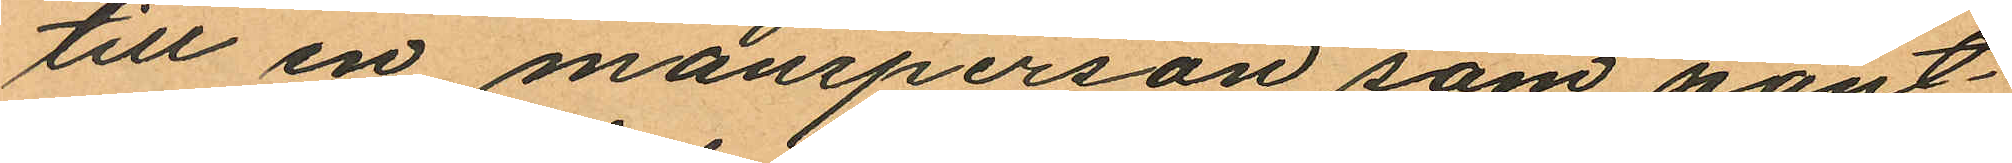till en mansperson som pant¬
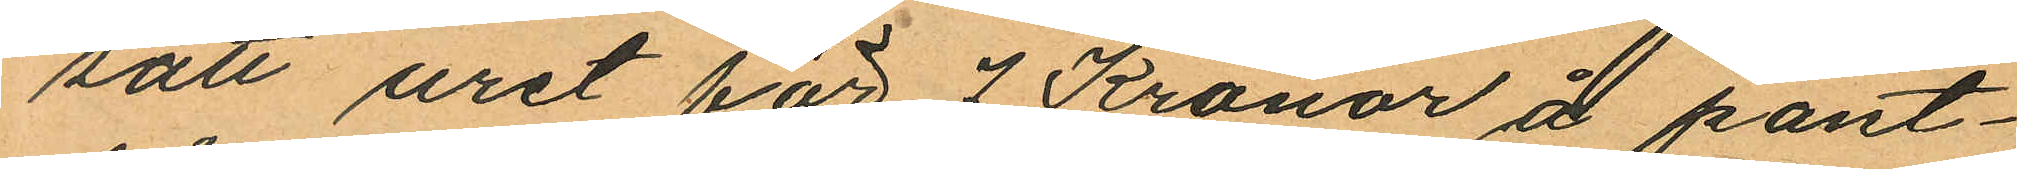satt uret för 7 Kronor å pant¬
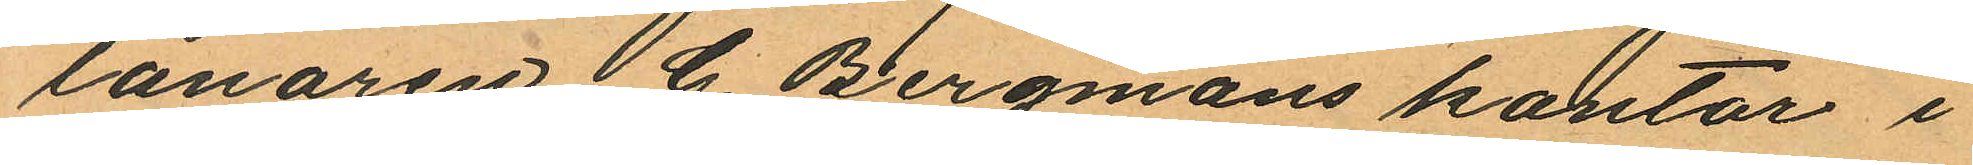lånaren G. Bergmans kontor i
